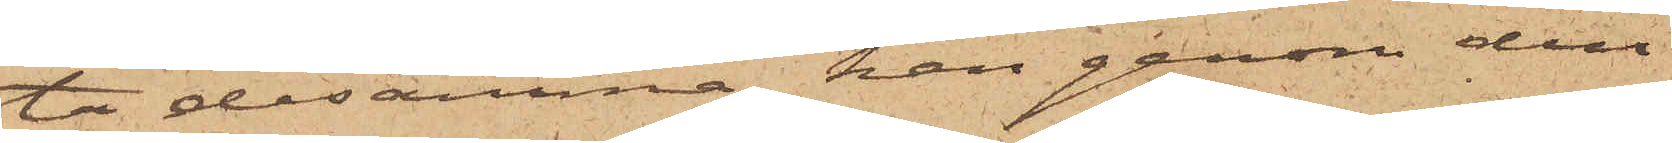ta desamma, han genom den
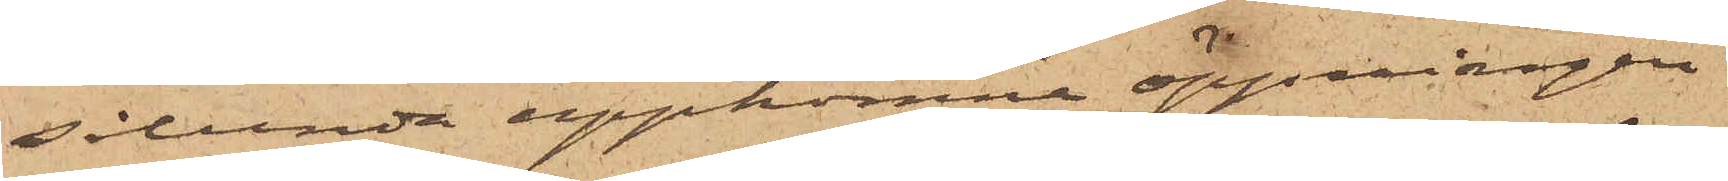sålunda uppkomne öppningen
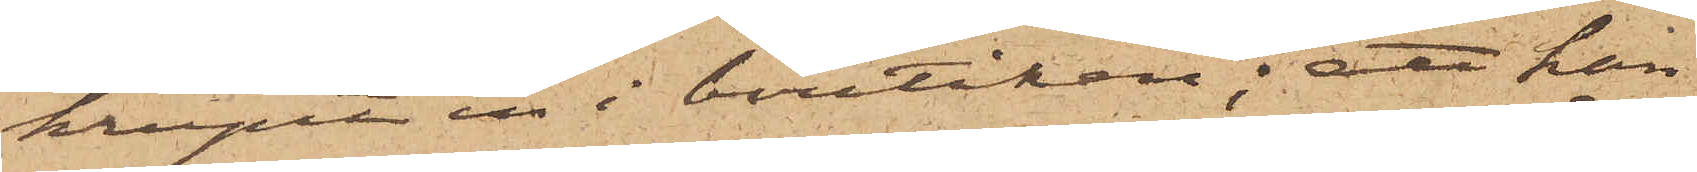krupit in i butiken; att han
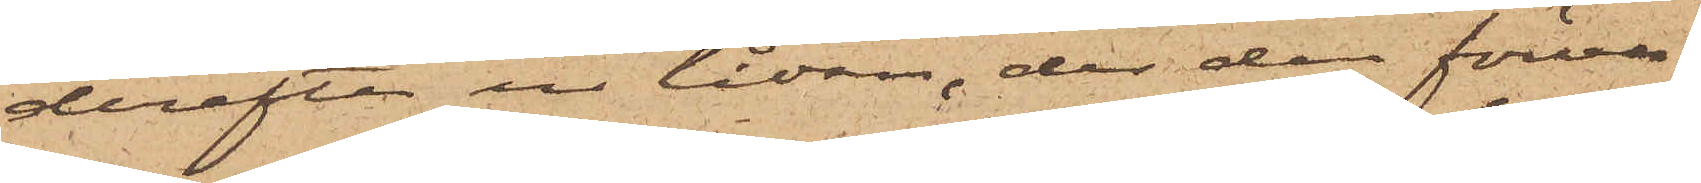derefter ur lådan, der den förva¬
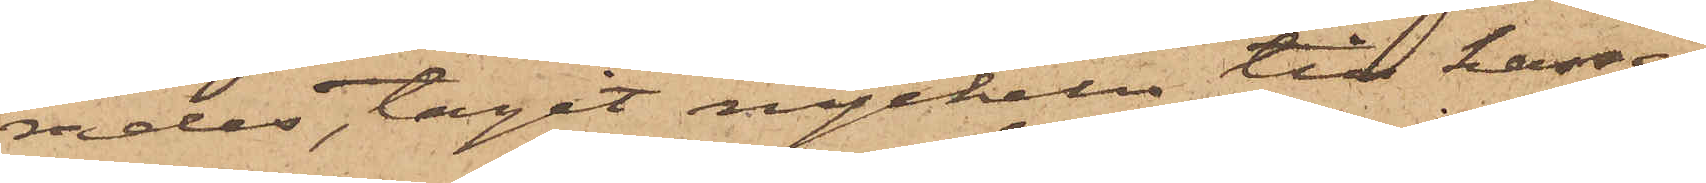rades, tagit nyckeln till kassa¬
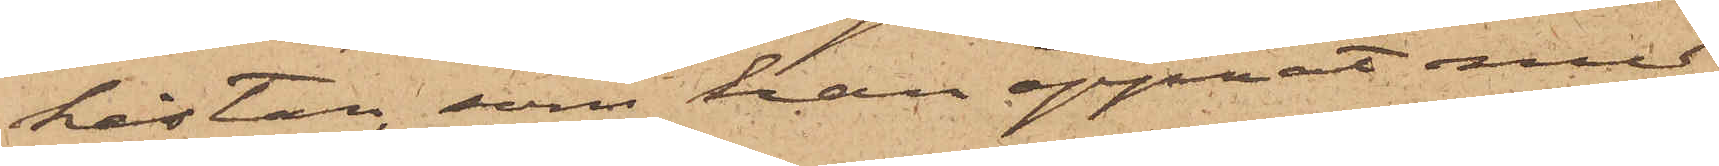hästan, som han öppnat med
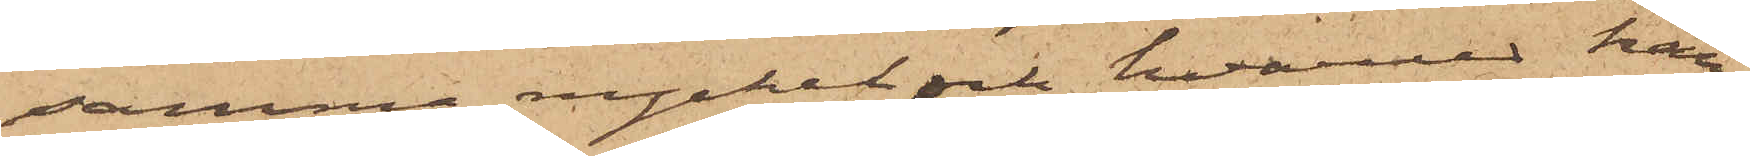samma nyckel och hvarvid han
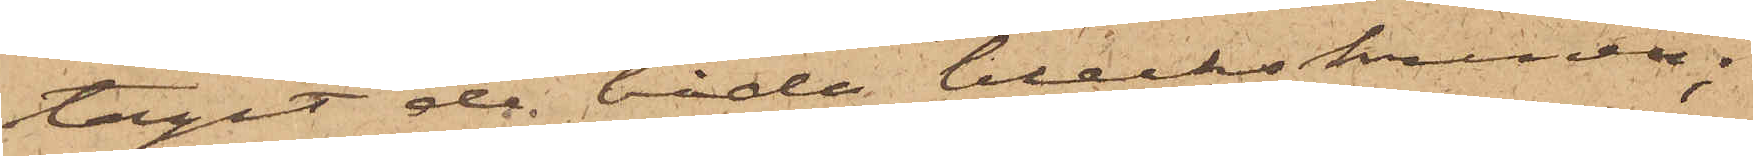tagit de båda bleckskrinen;
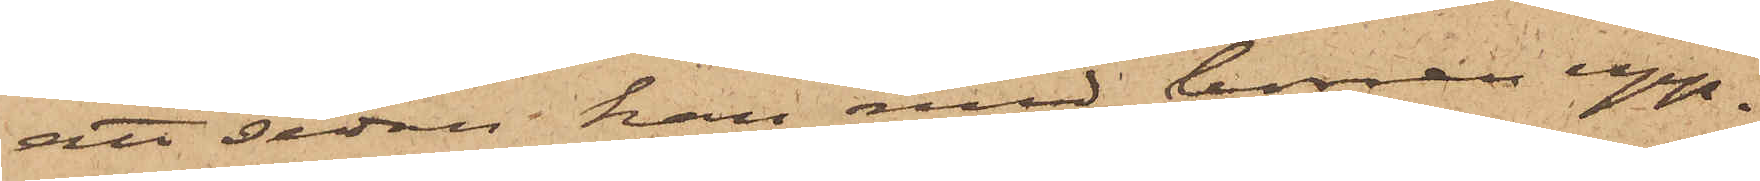att sedan han med borren upp¬
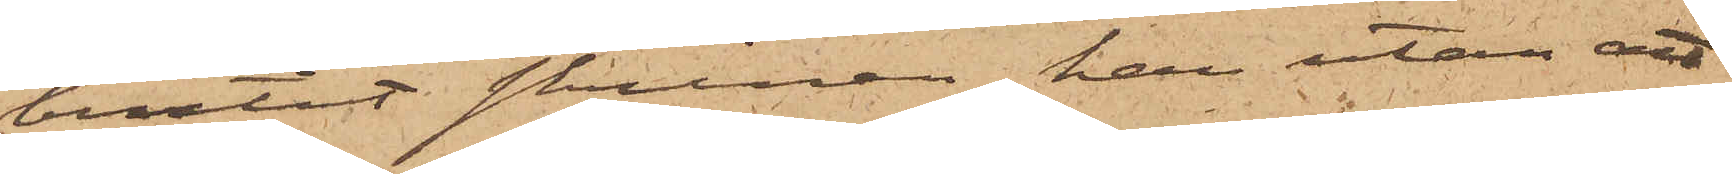brutit skrinen, han utan att
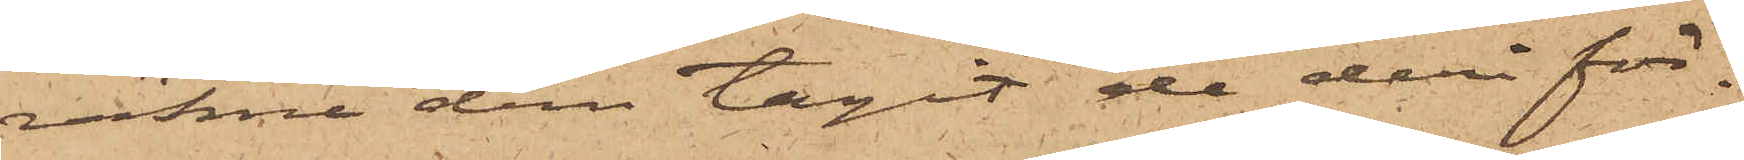räkna dem tagit de deri för¬
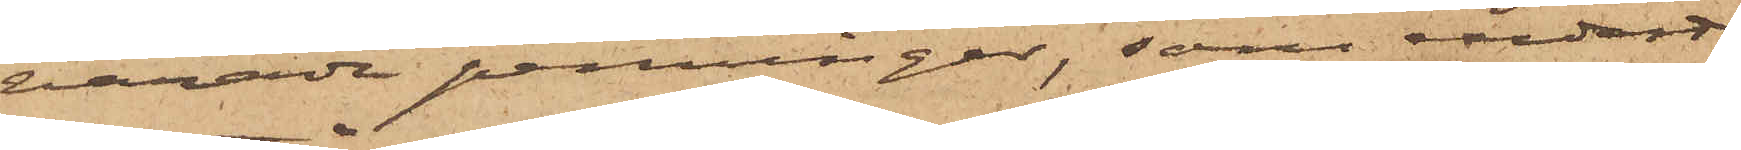varade penningar, som endast
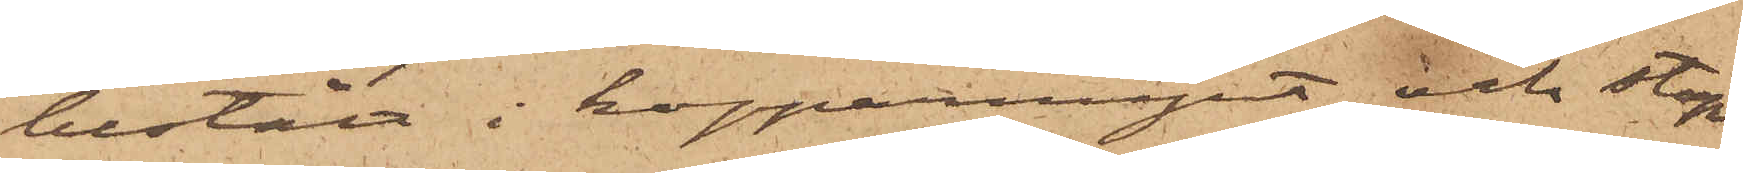bestått i kopparmynt, och stop¬
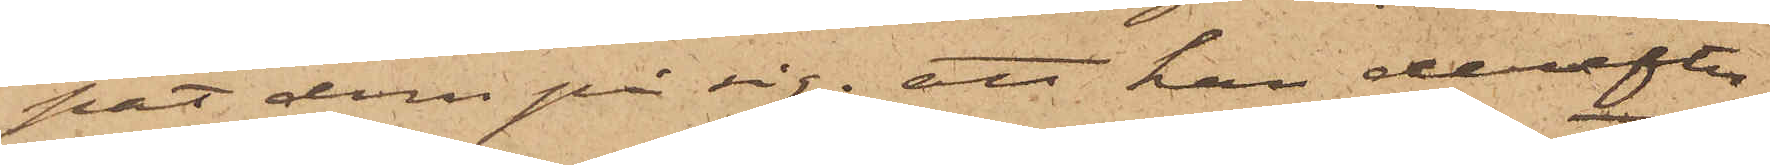pat dem på sig; att han derefter
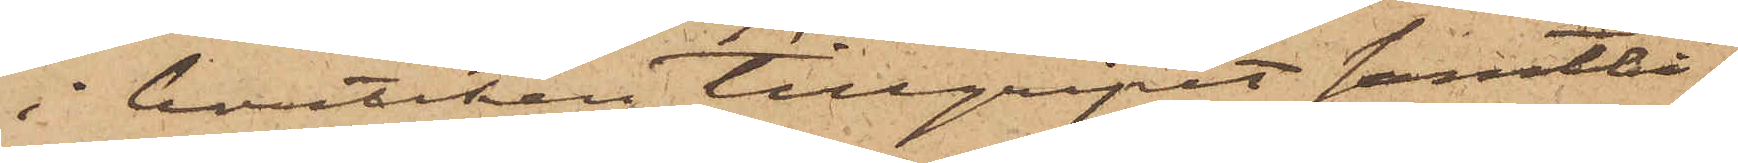i butiken tillgripit samtli¬
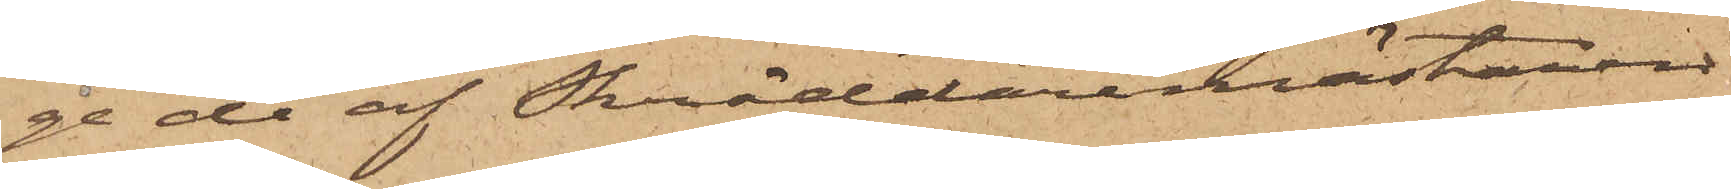ge de af Skräddaremästaren
